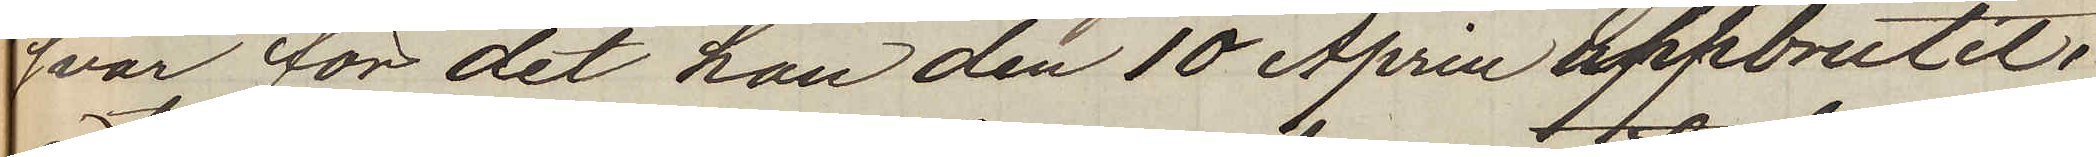svar för det han den 10 April uppbrutit
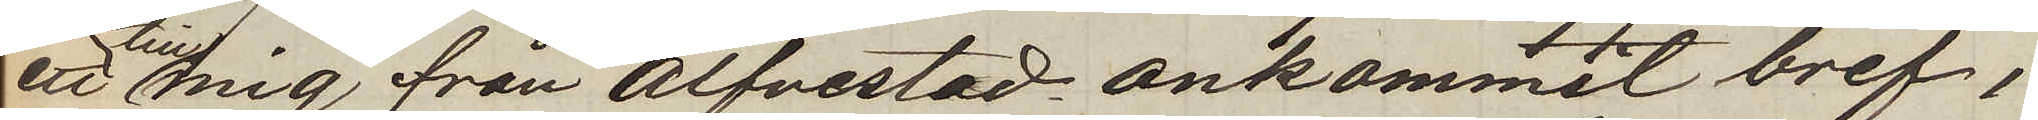ett till mig från Alfvestad ankommit bref,
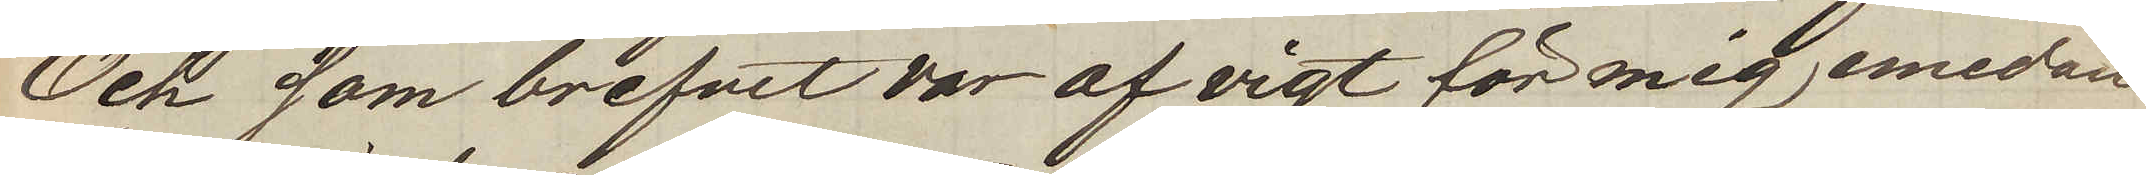Och som brefvet var af vigt för mig emedan
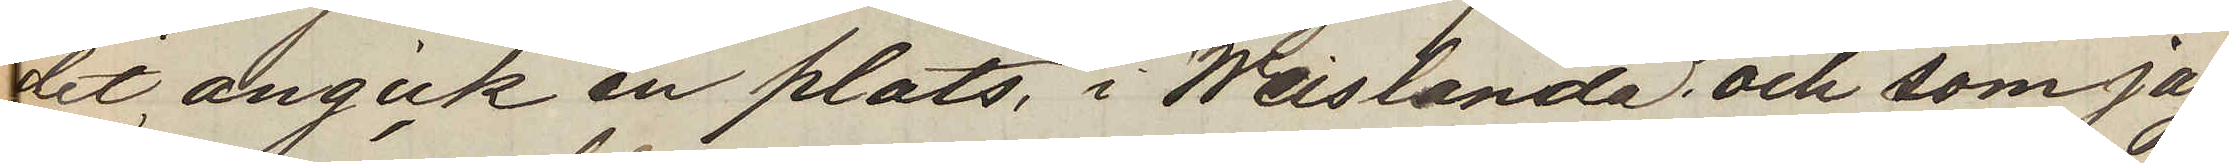det angick en plats, i Weislanda, och som jag
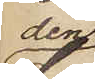den
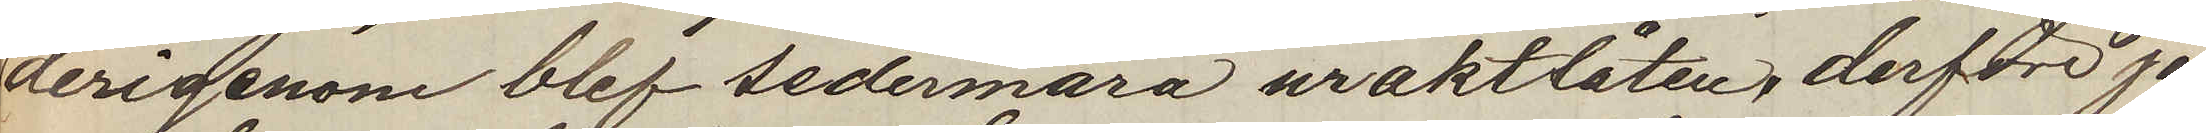derigenom blef sedermära uraktlåten, derföre jag
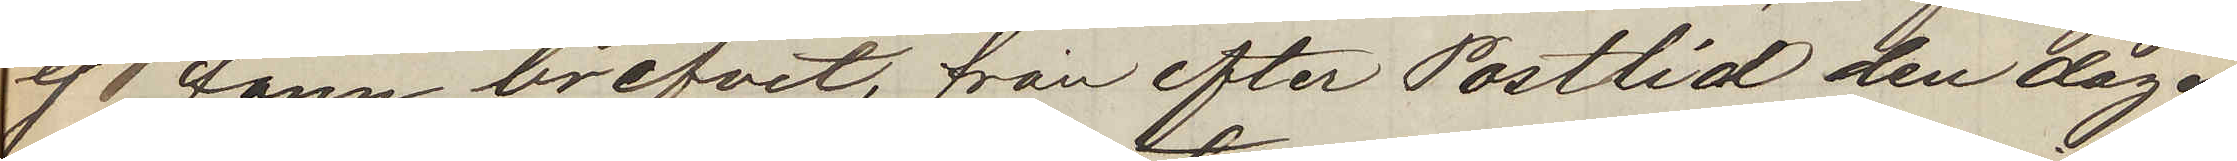ej fann brefvet, från efter Posttid den dagen
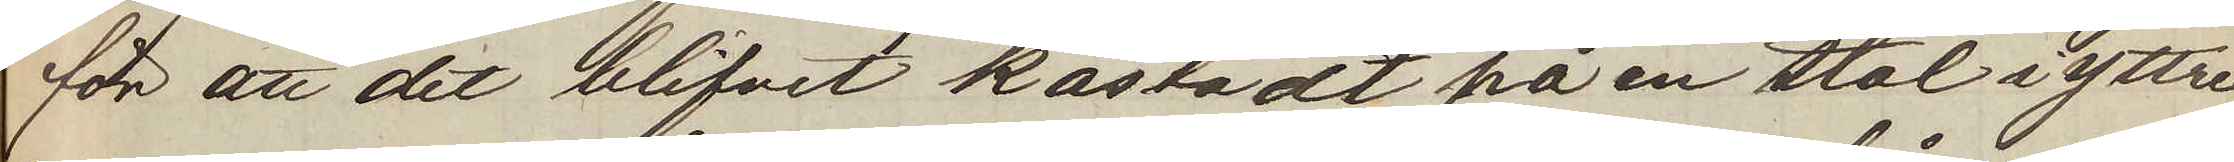för att det blifvit kastadt på en stol i yttre
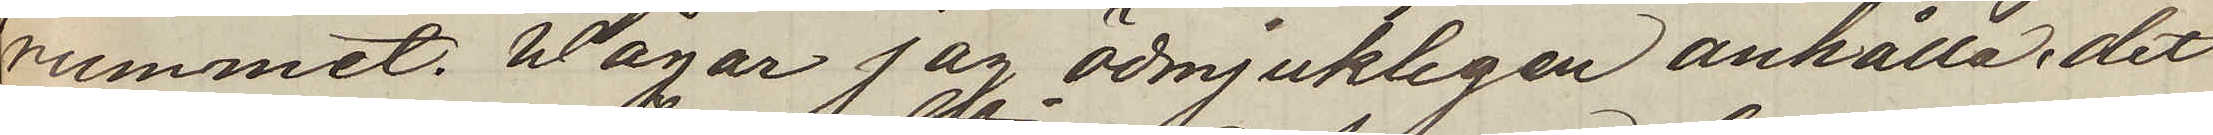rummet. Wågar jag ödmjukligen anhålla det
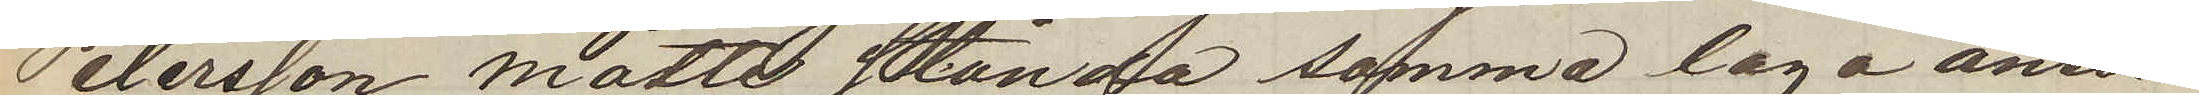Petersson måtte stånda samma laga ansvar
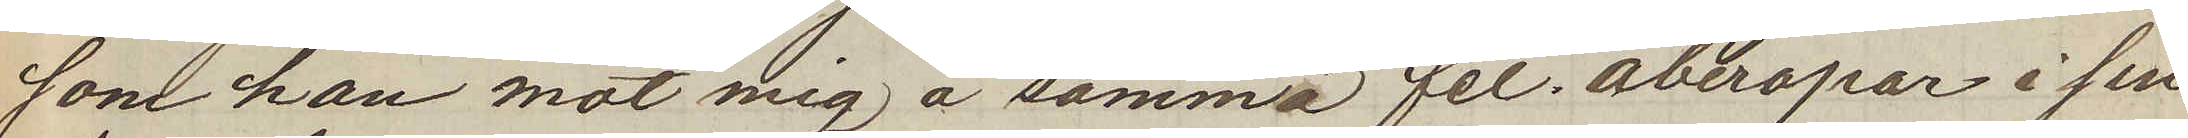som han mot mig å samma fel. åberopar i sin
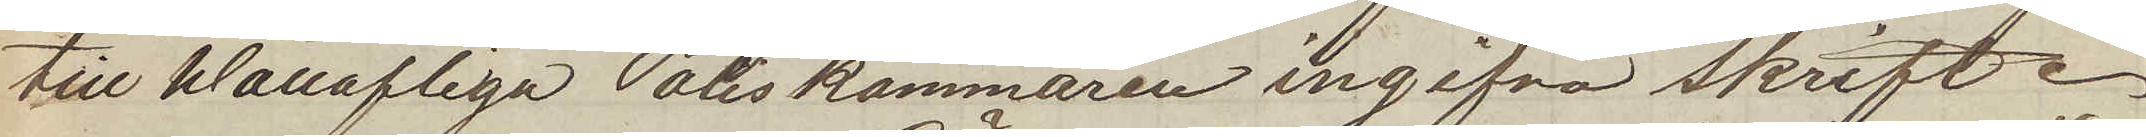till Wällofliga Poliskammaren ingifna skrift.
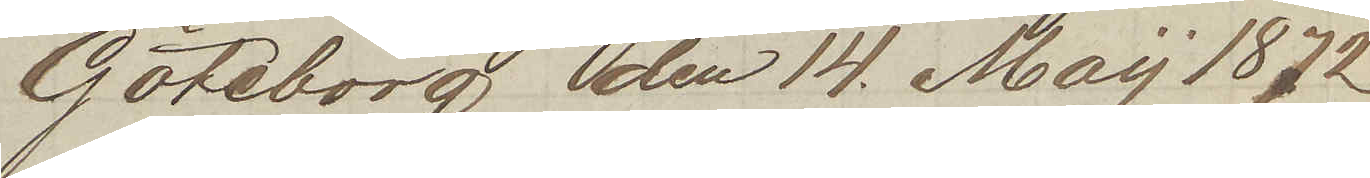Göteborg den 14. Maij 1872
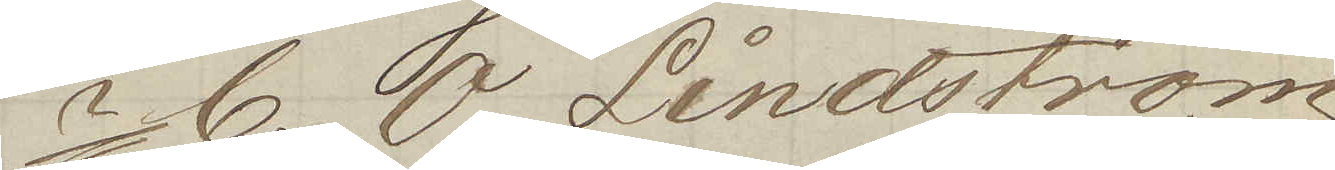C. O. Lindström
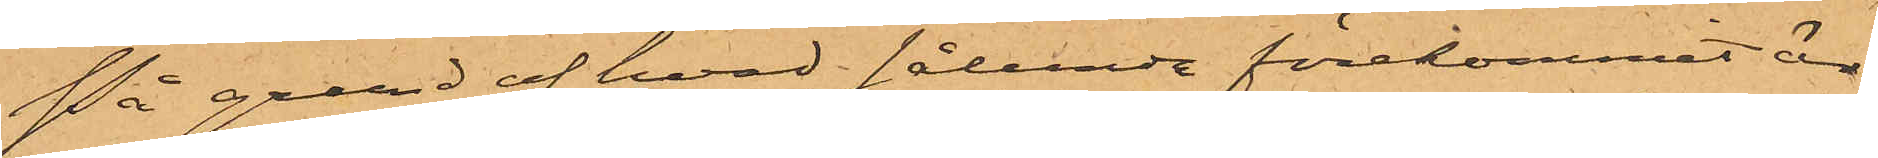På grund af hvad sålunda förekommit är
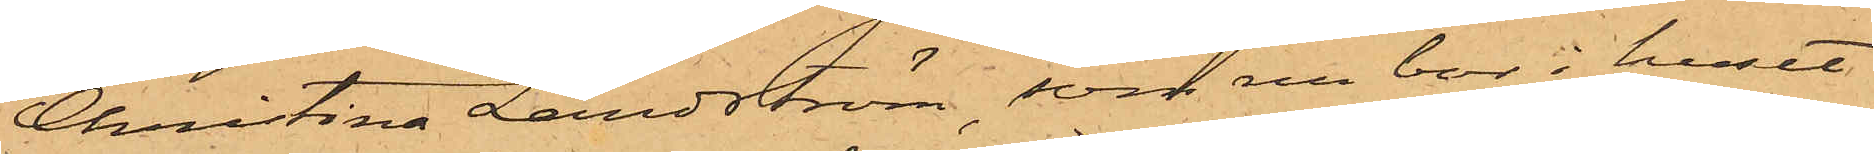Christina Landström, som nu bor i huset
